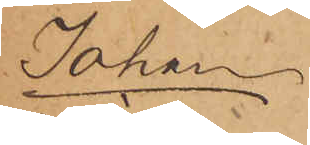Johan
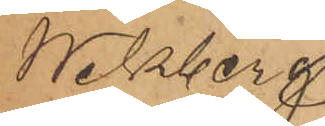Wikberg
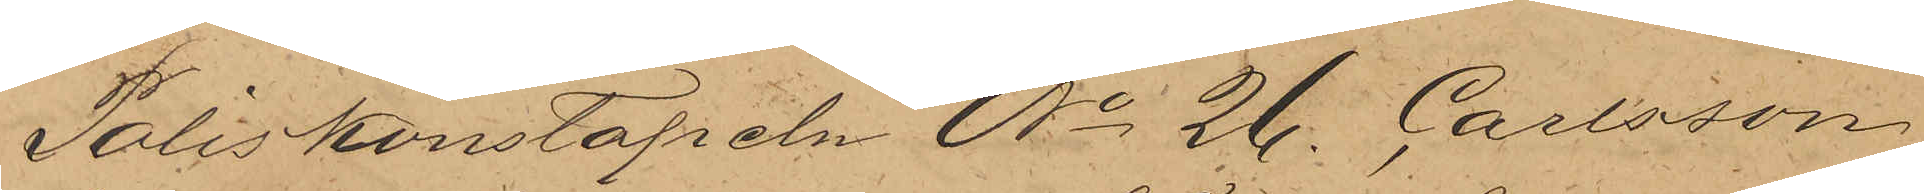Poliskonstapeln No 26. Carlsson
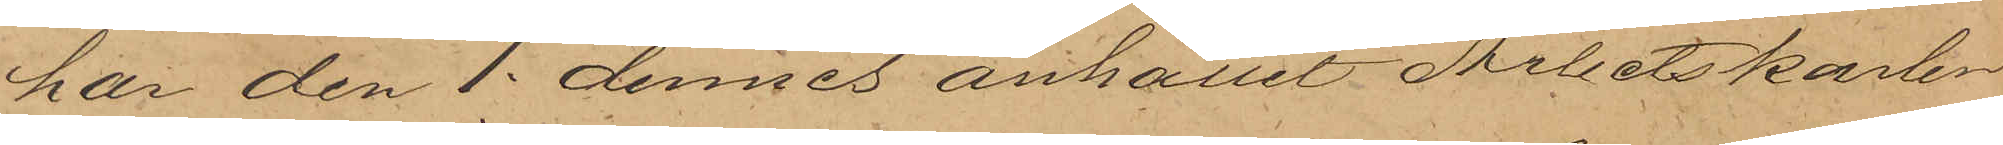har den 1. dennes anhållit Arbetskarlen
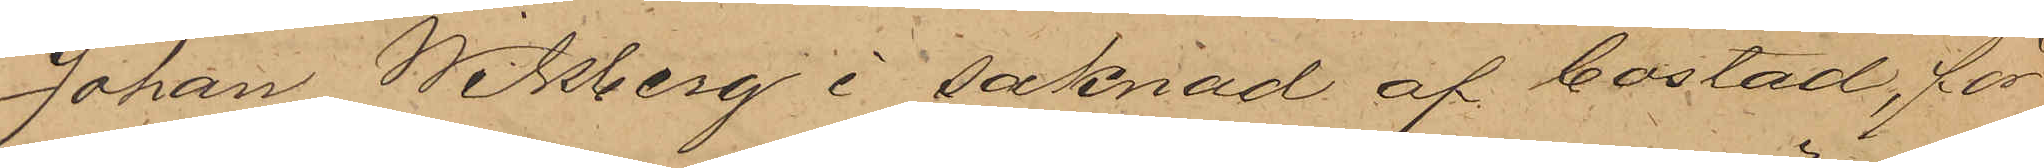Johan Wikberg i saknad af bostad, för
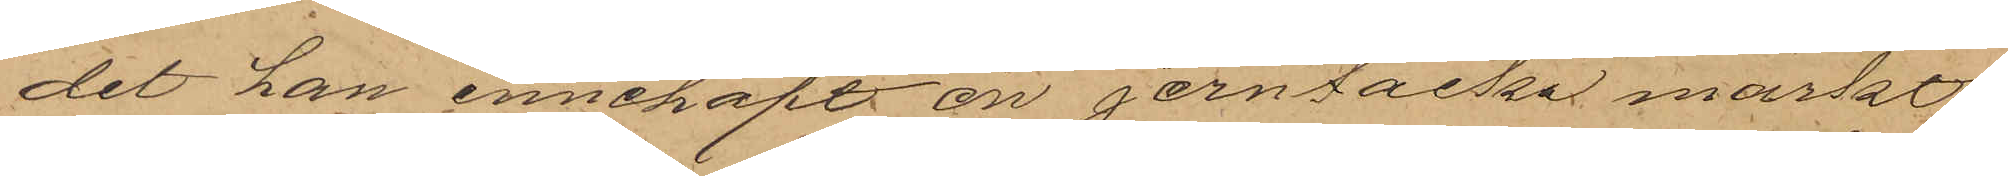det han innehaft en jerntacka märkt
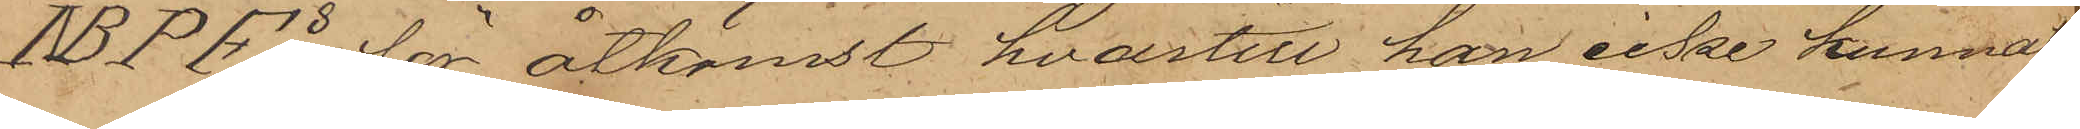ABPFs för åtkomst hvartill han icke kunnat
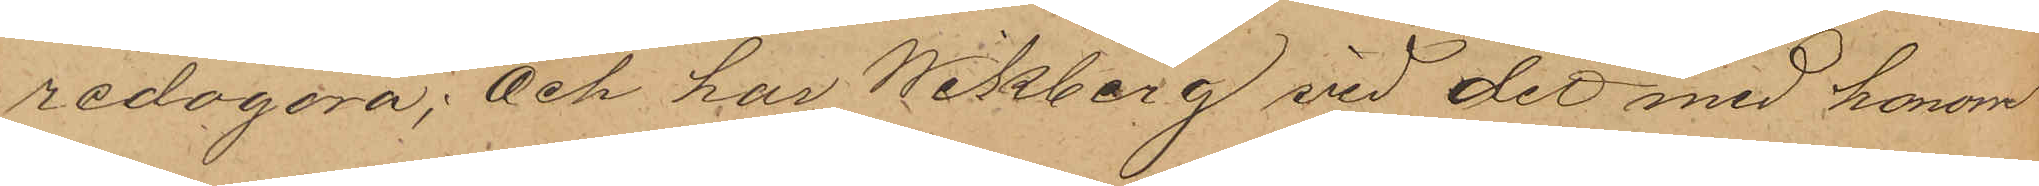redogöra; Och har Wikberg vid det med honom
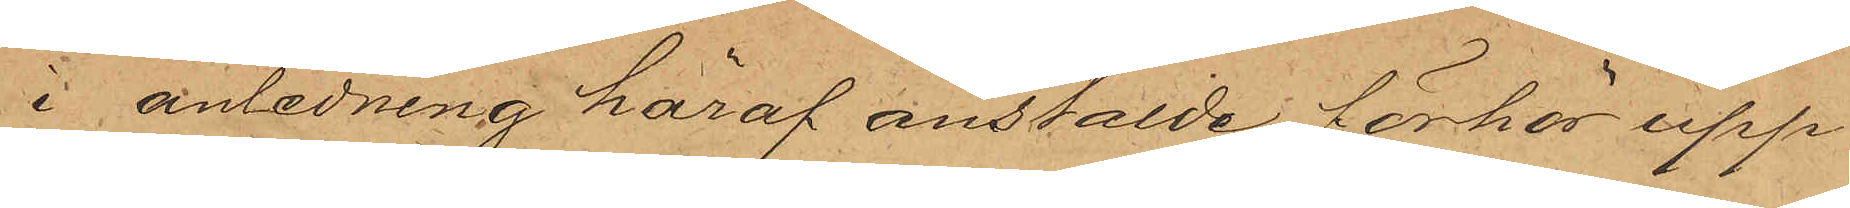i anledning häraf anstälde förhör upp¬
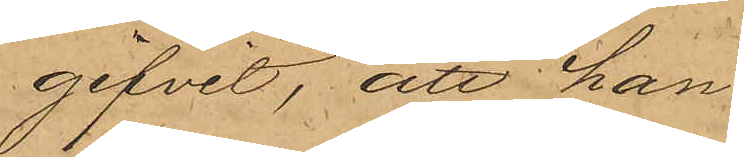gifvit, att han
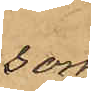som
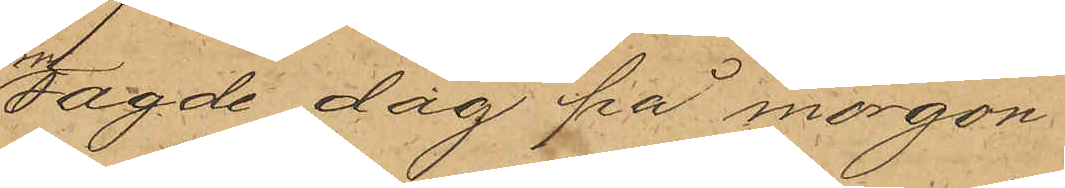sagde dag på morgon
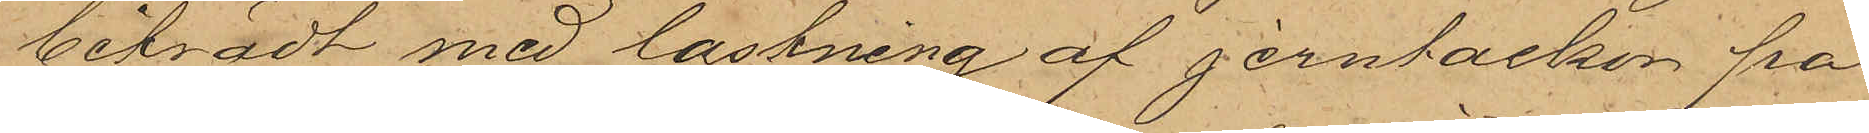biträdt med lastning af jerntackor på
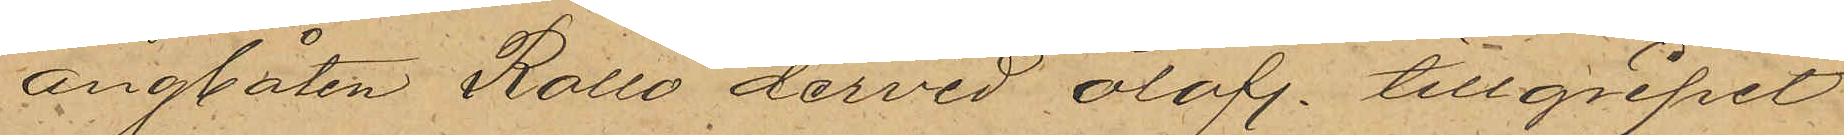ångbåten Rollo dervid olofl. tillgripit
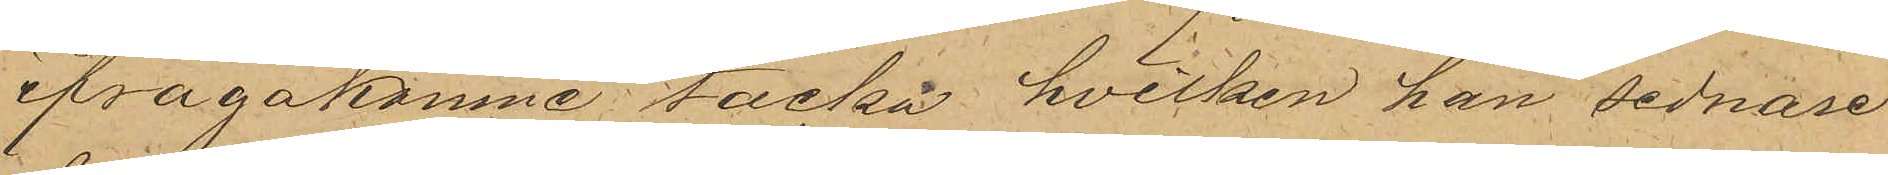ifrågakomne tacka, hvilken han sednare
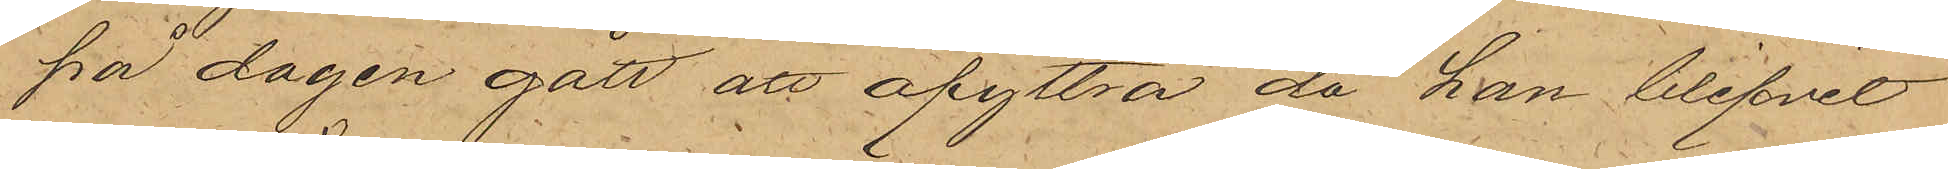på dagen gått att afyttra då han blifvit
